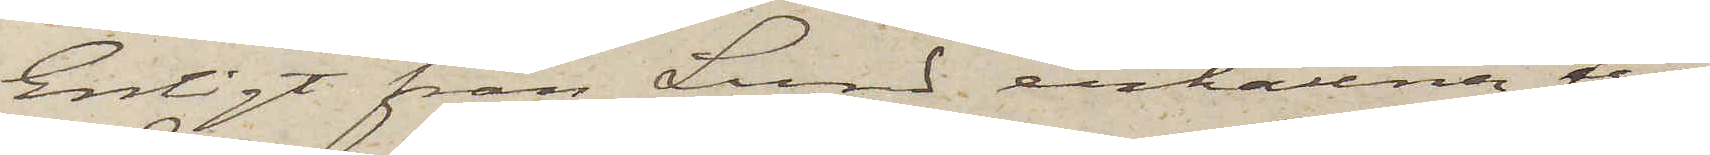Enligt från Lund erhållna till¬
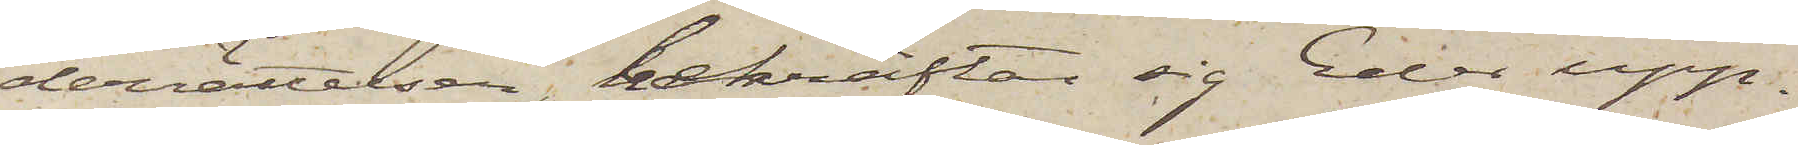derrättelser, bekräftar sig Eder upp¬
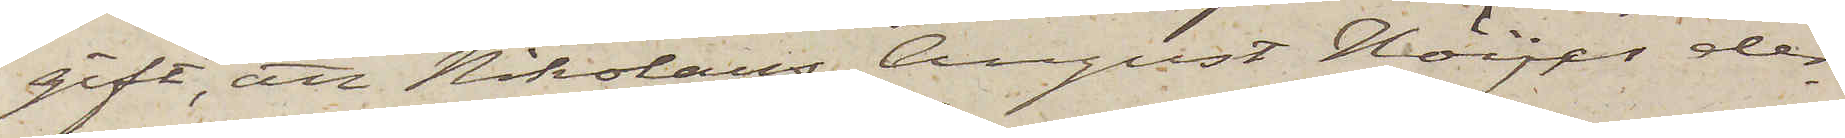gift, att Nikolaus August Höijer der¬
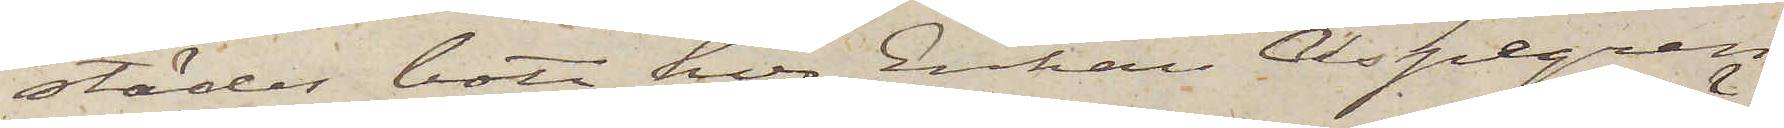städes bott hos Enkan Aspegren
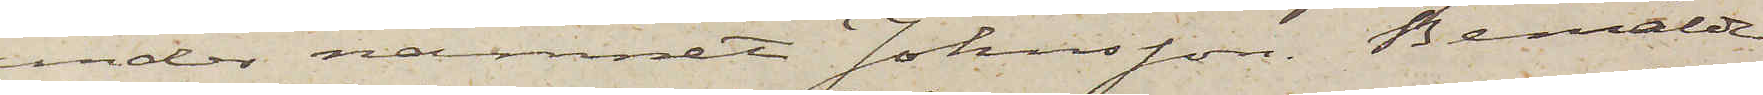under namnet Johnsson. Bemälde
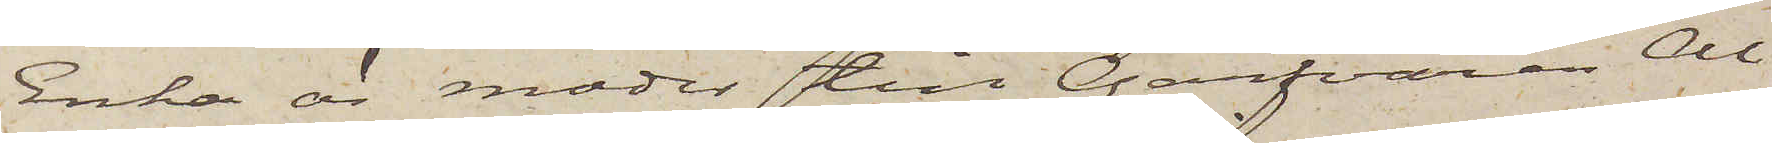Enka är moder till Garfvaren Al¬
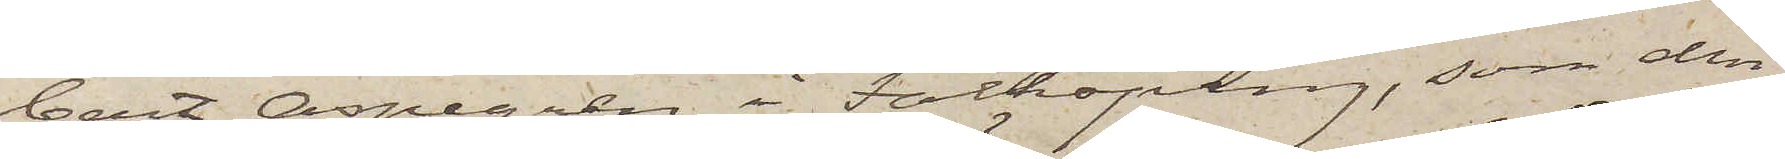bert Aspegren i Falköping, som den
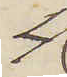4
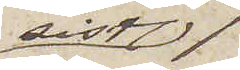sistl.
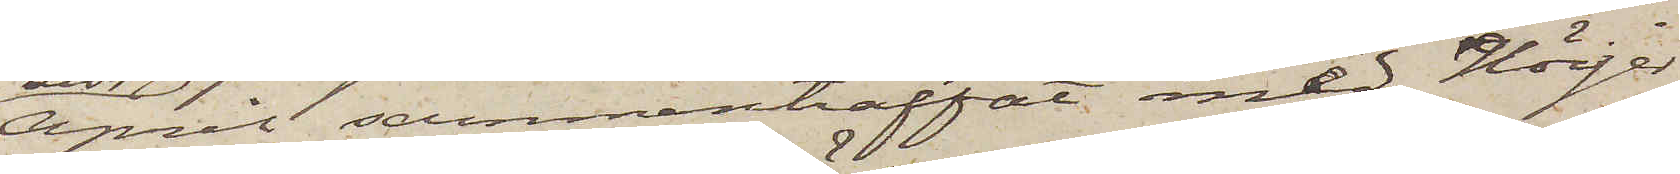April sammanträffat med Höijer
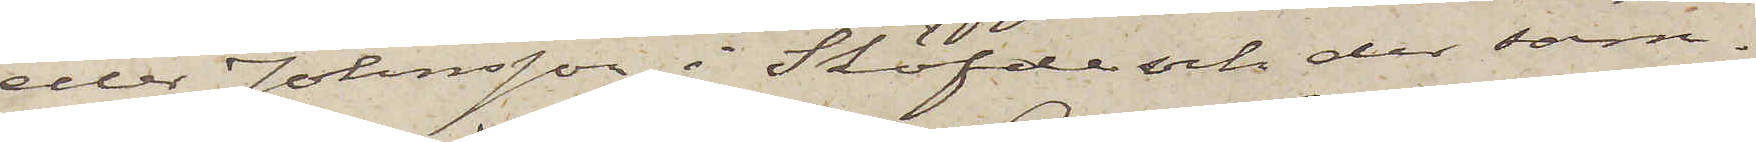eller Johnsson i Sköfde och der sam¬
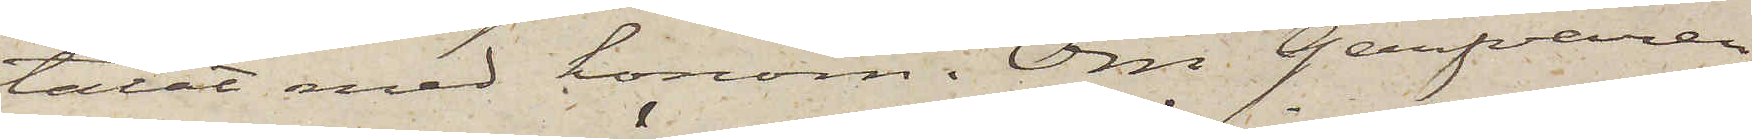talat med honom. Om Garfvaren
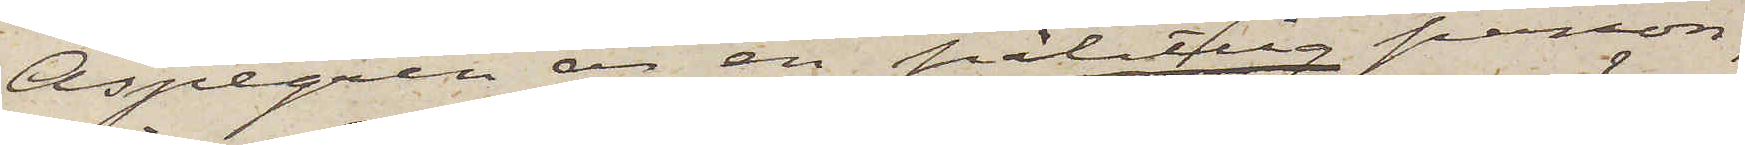Aspegren är en pålitlig person,
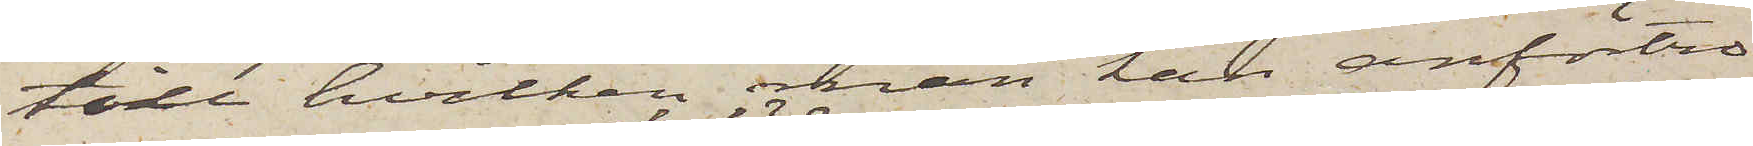till hvilken man kan anförtro
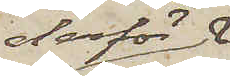derför
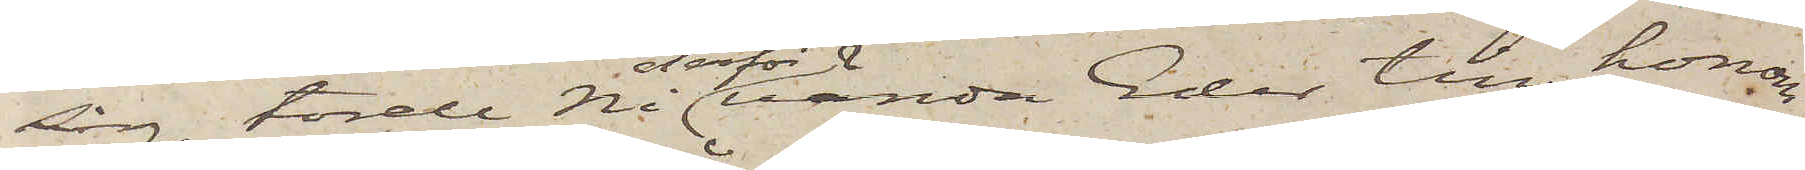sig, torde Ni derför vända Eder till honom
